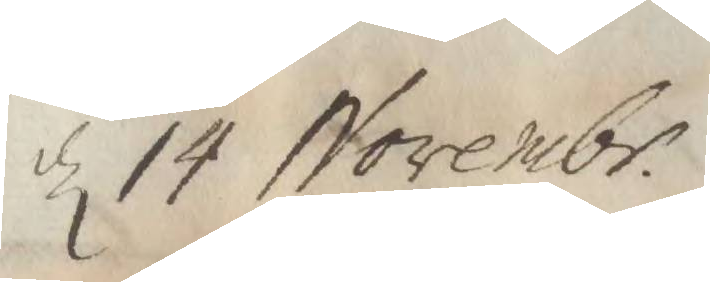d 14 Novembr.
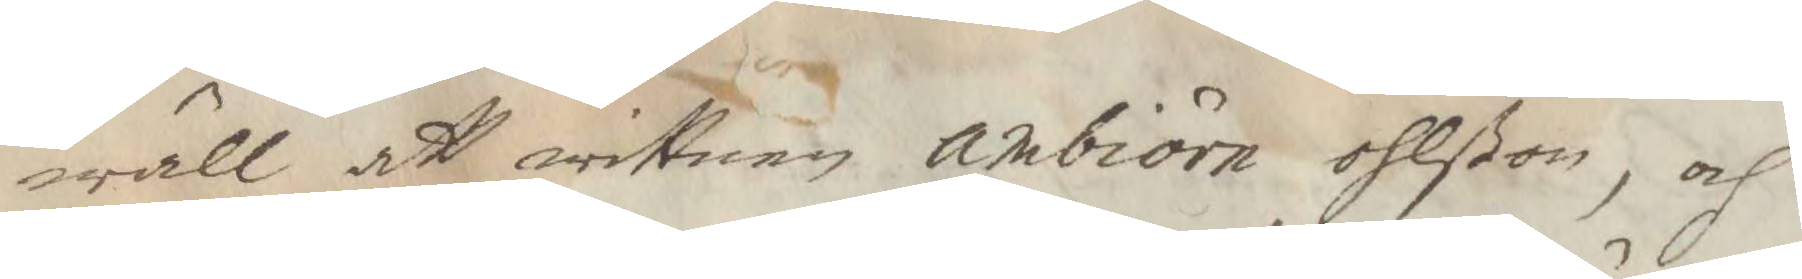wäll att wittnen ambiörn ohlßon, och
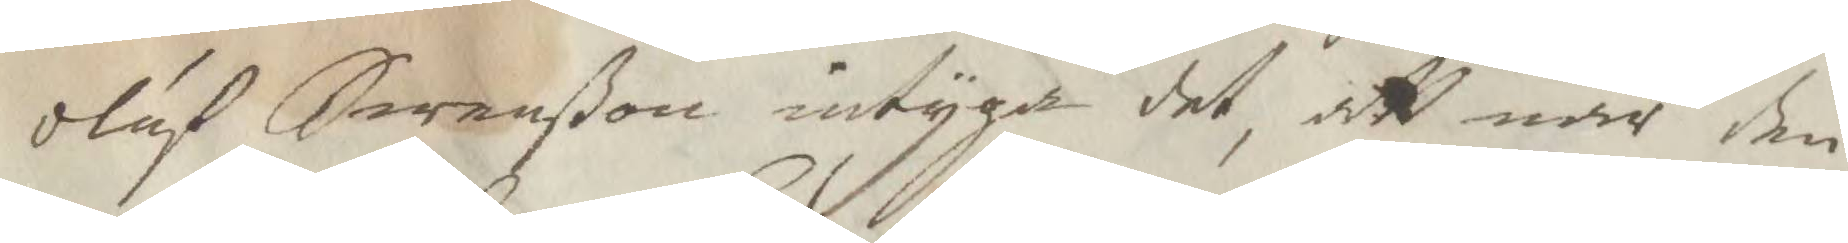oluf Swenßon intyga det, att när den¬
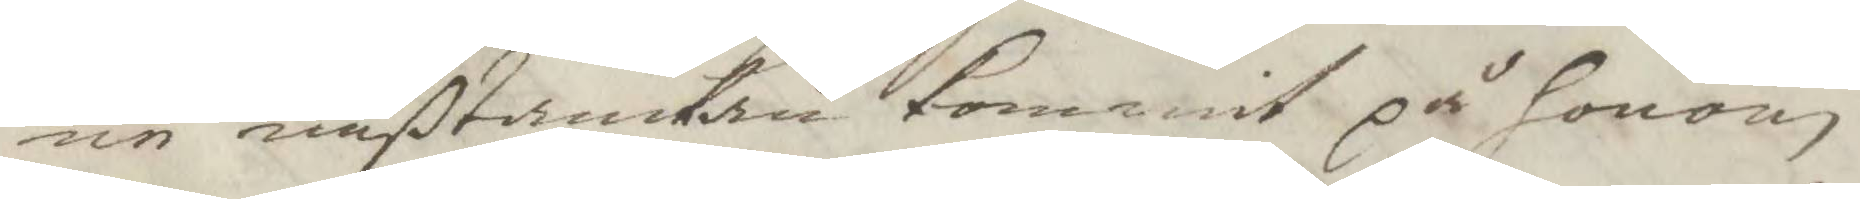ne mißtankan kommit på honom
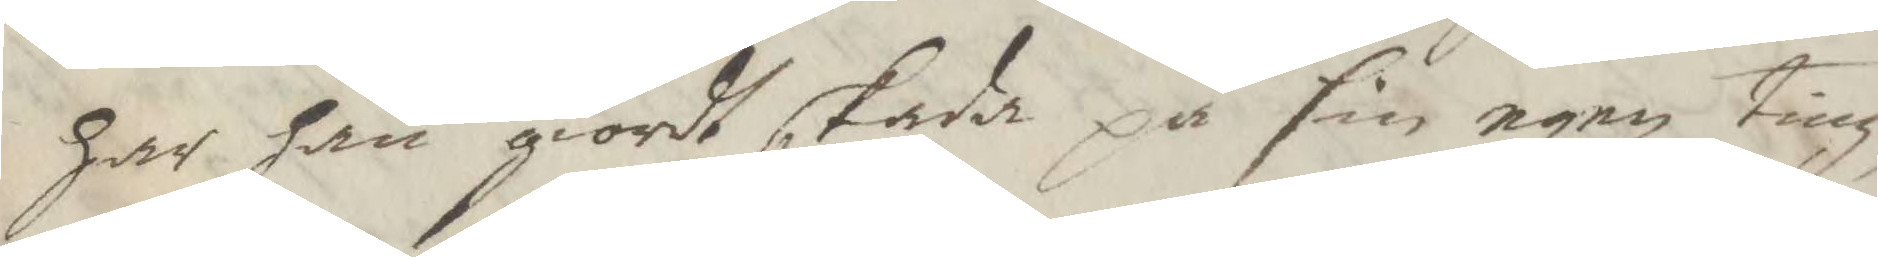har han giordt skada på sin egen ting
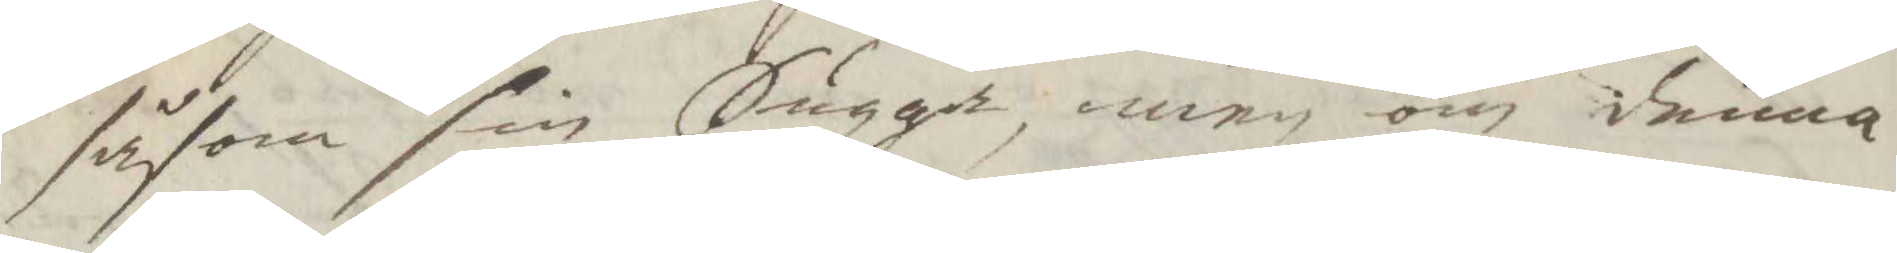såsom sin Sugga, men om denna
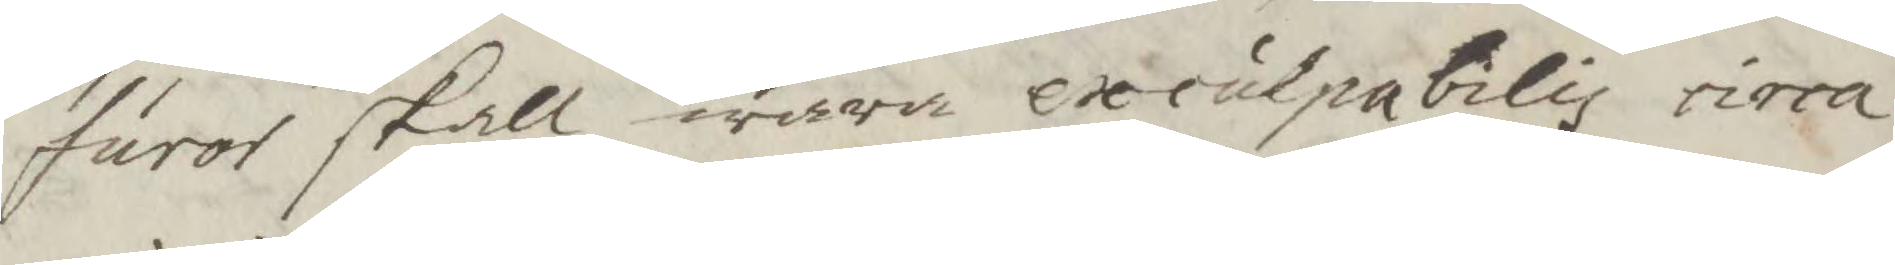furor skall wara excutpabilis cirra
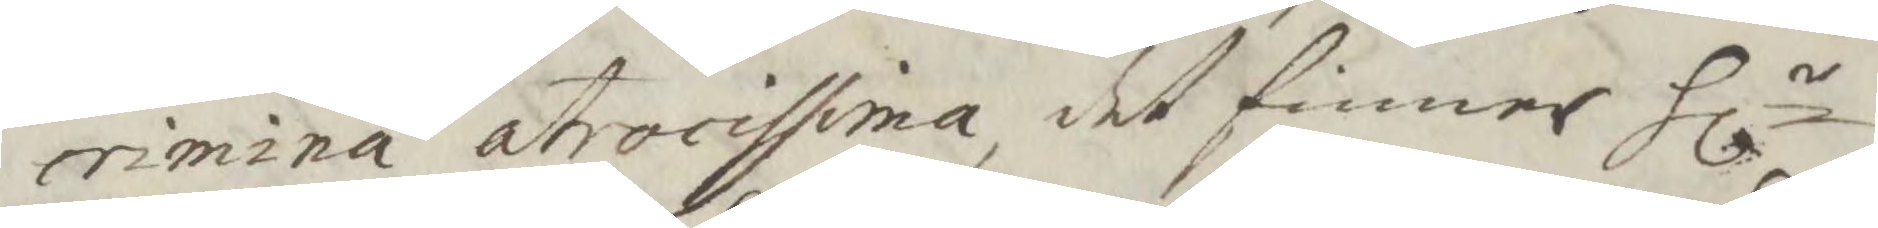crimina atrocissima, det finner Hlr
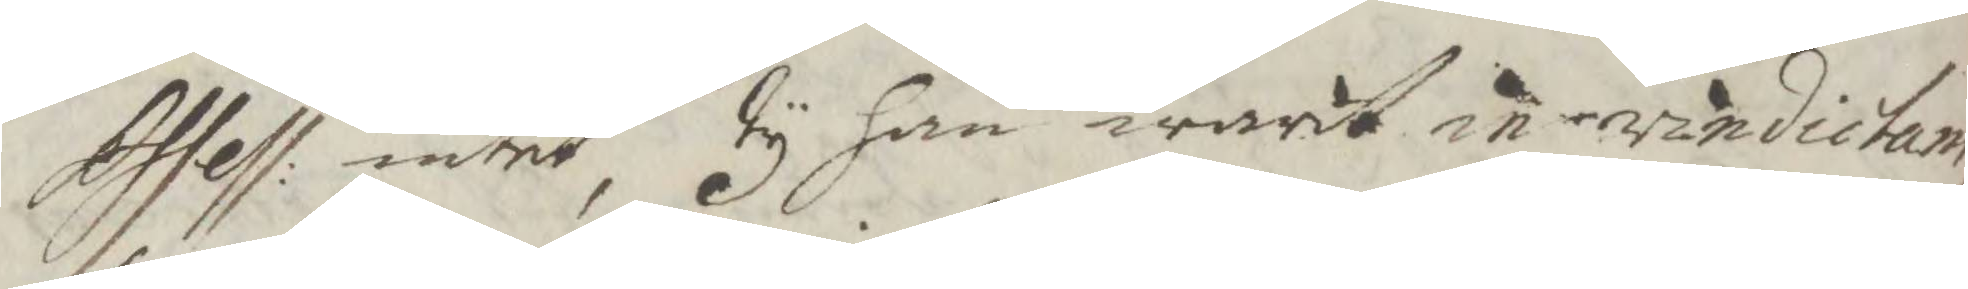Assess; intet, ty han warit in vindictam,
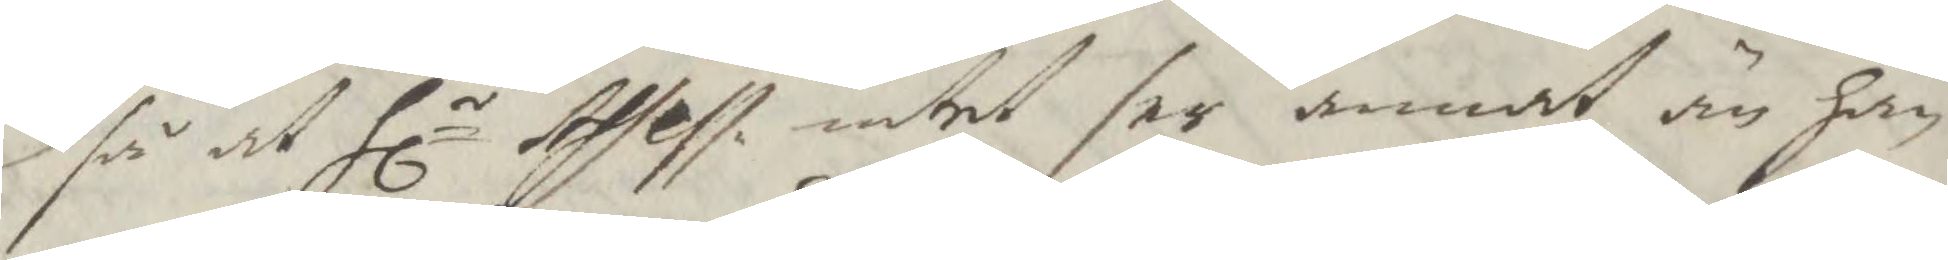så at hlr Assess. intet ser annat än han
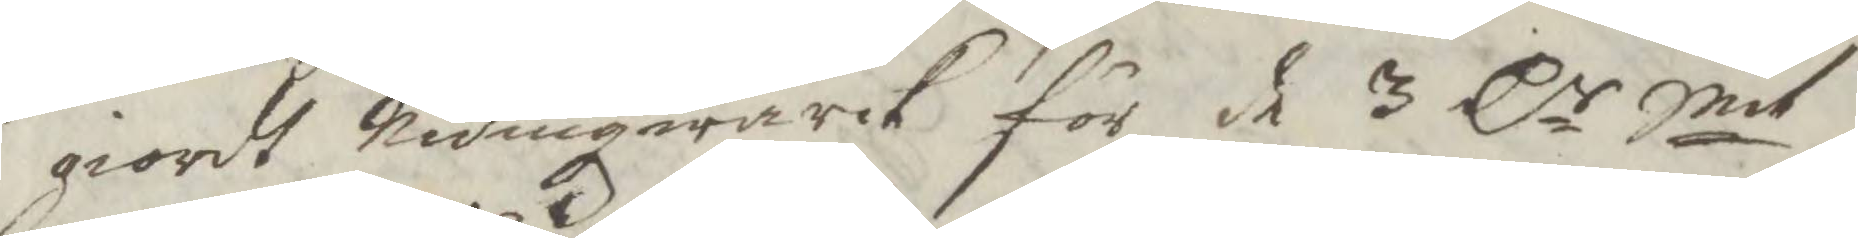giordt Nidingwärck för de 3 Cr Smt
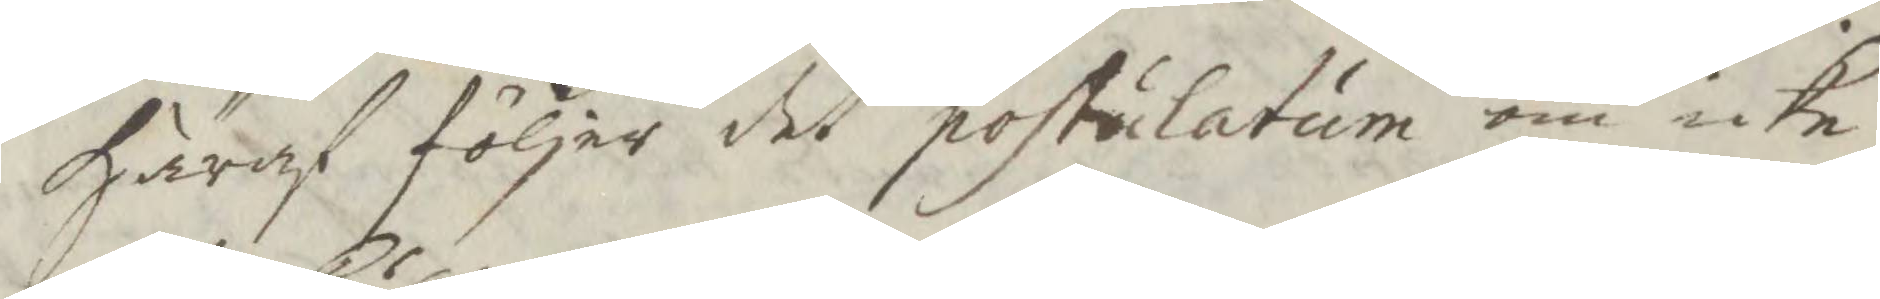häraf följer det posticlatum om icke
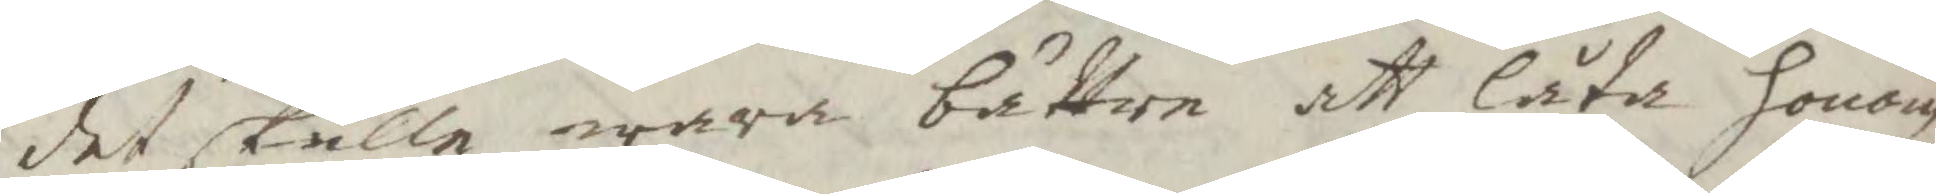det skulle wara bättre att låta honom
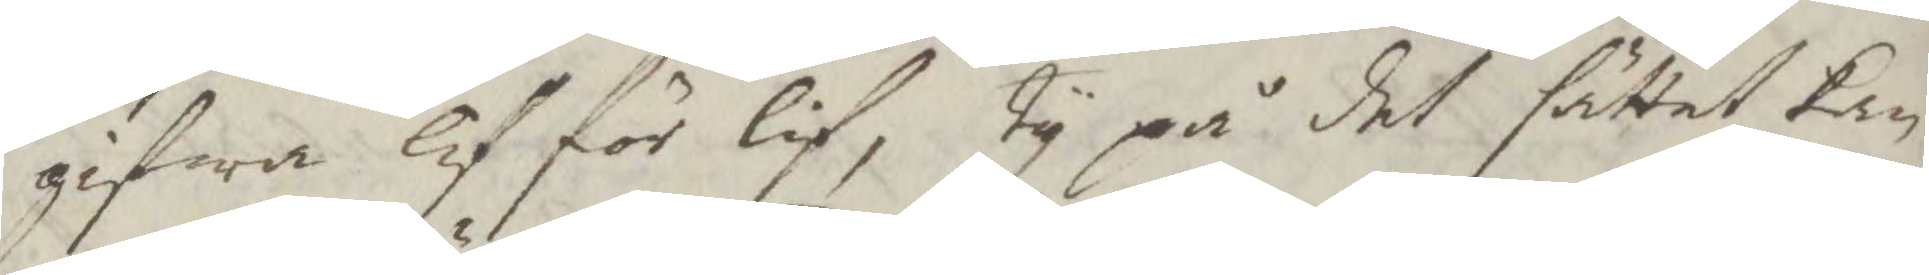gifwa lif för lif, Ty på det sättet kan
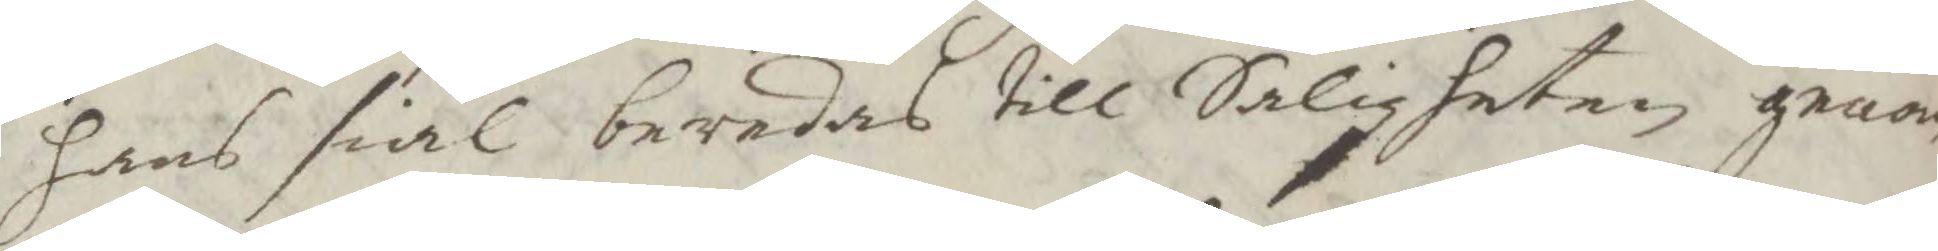hans siäl beredas till Salighten genom
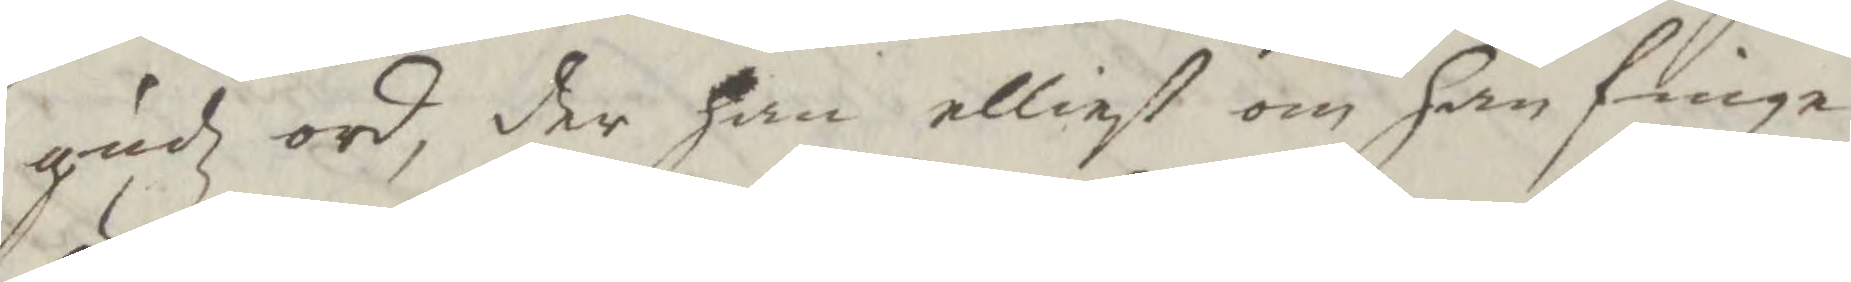gudz ord, der han elliest om han finge
